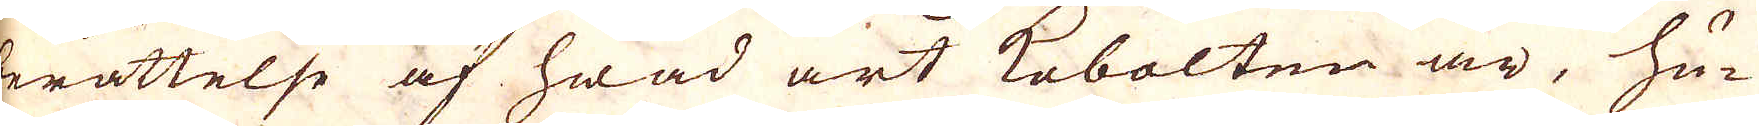berättelse af hwad art kobolten är, hu-
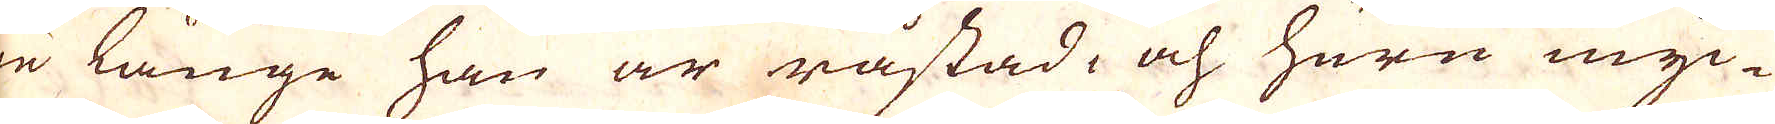ru länge han är råstad och huru myc-
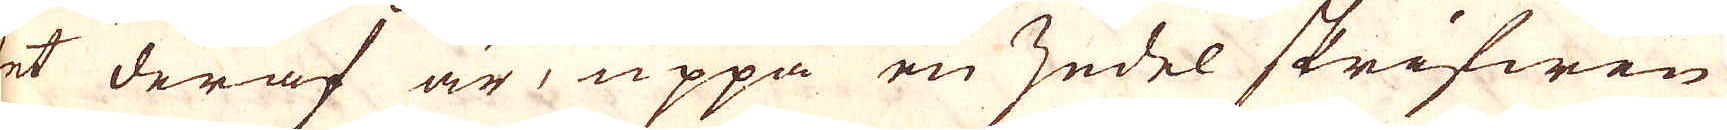ket deraf är, uppå en zedel skrifwen
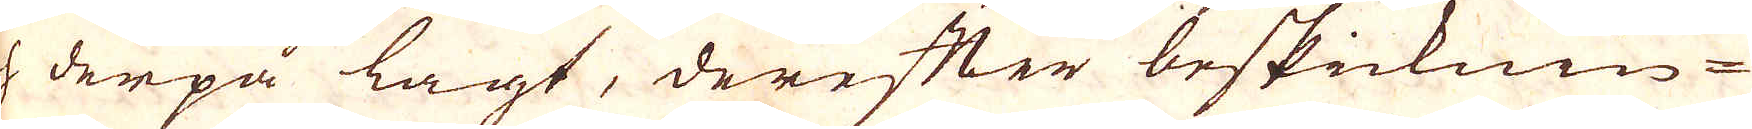och derpå lagt, derefter beskicknin-
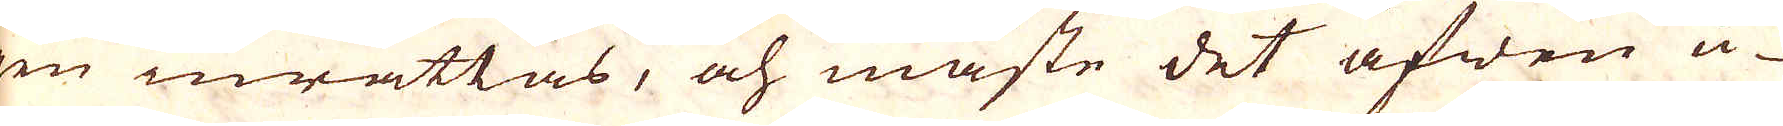gen inrättas, och måste det äfwen u-
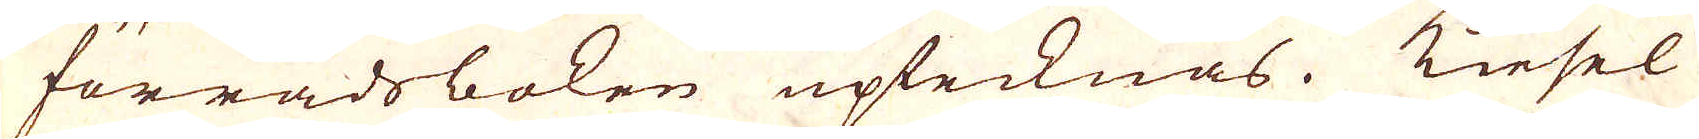ti förrådsboken uptecknas. Kiesel
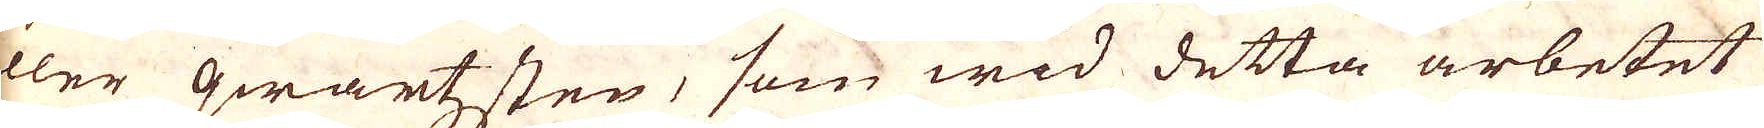eller qwartzsten, som wid detta arbetet
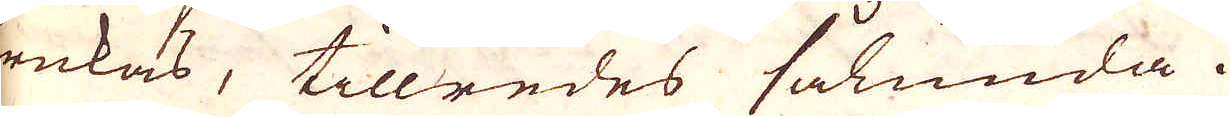brukas, tillredes sålunda.
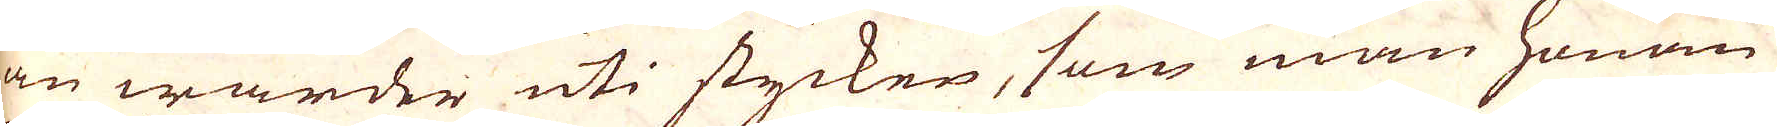Han warder uti stycken, som man honom
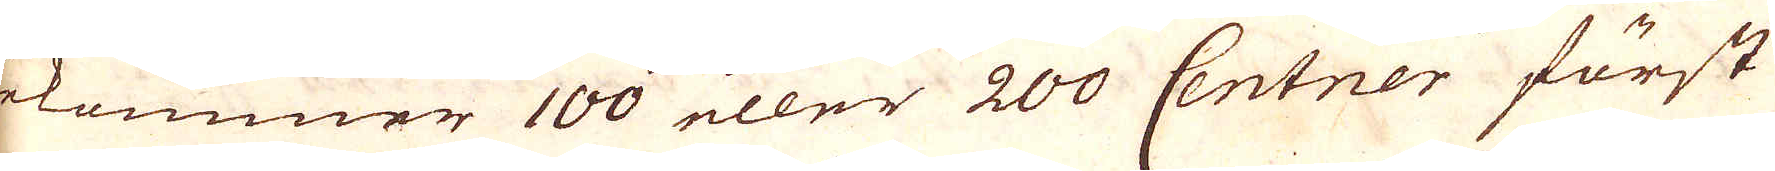bekommer 100 eller 200 Centner först
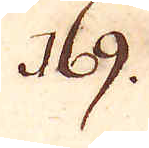169.
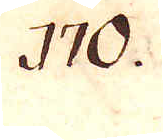170.
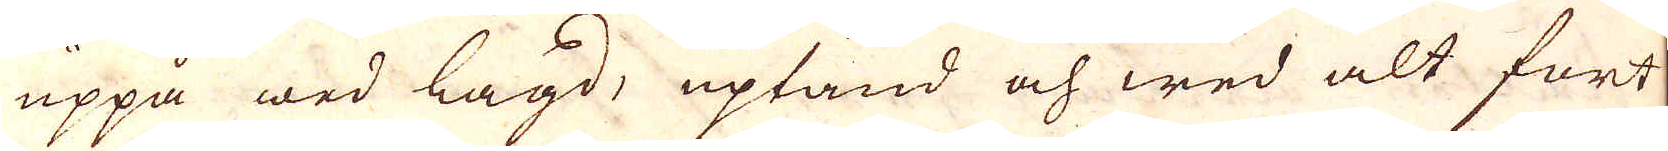uppå wed lagd, uptänd och wed alt fort
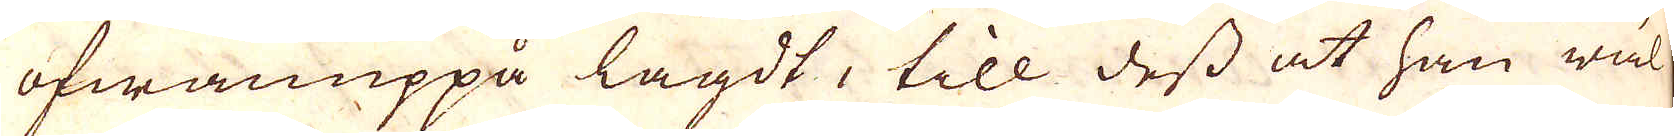ofwanuppå lagdt, till dess at han wäl-
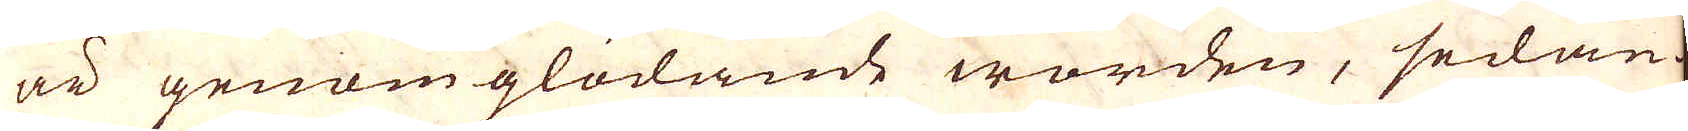är genom glödande worden, sedan
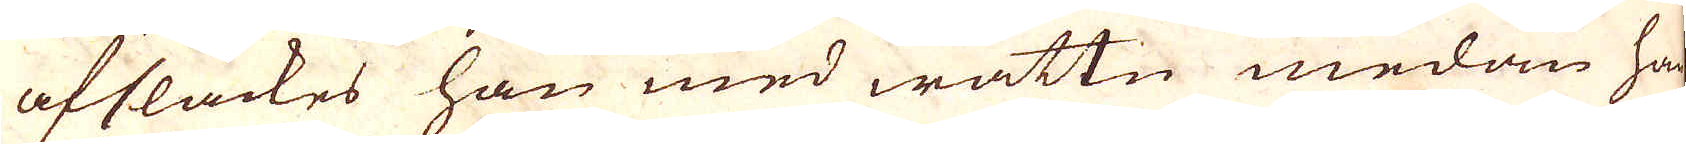afsläckes han med wattn medan han
